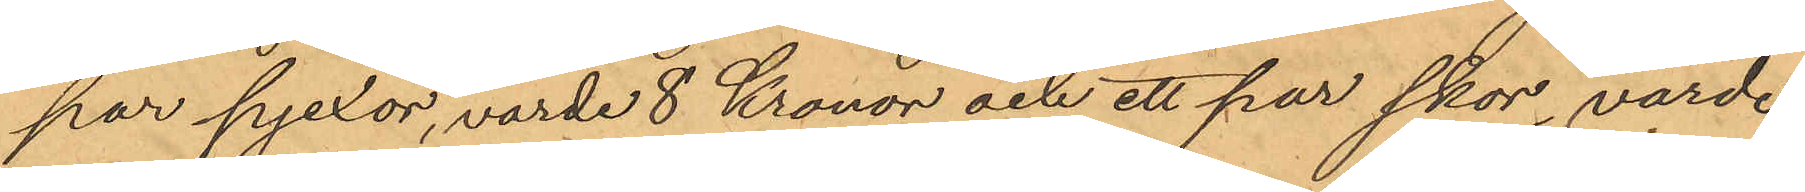par pjexor, värde 8 Kronor och ett par skor, värde
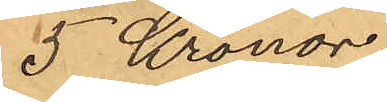5 Kronor
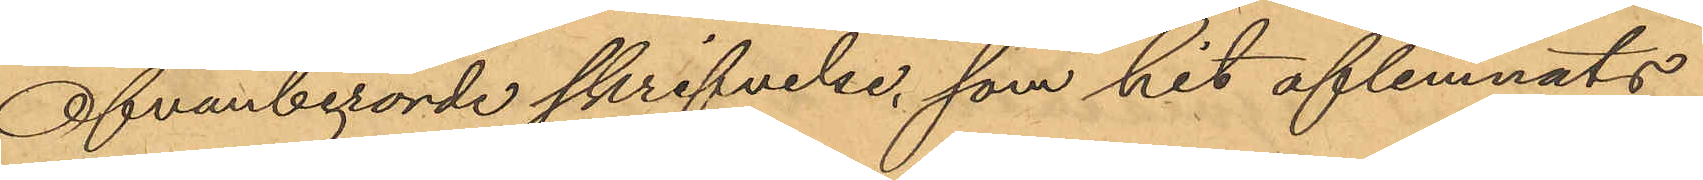Ofvanberörde skrifvelse, som hit aflemnats
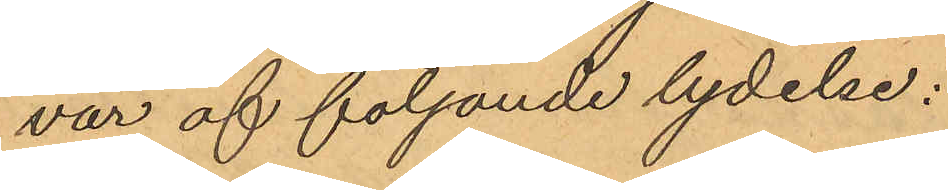var af följande lydelse:
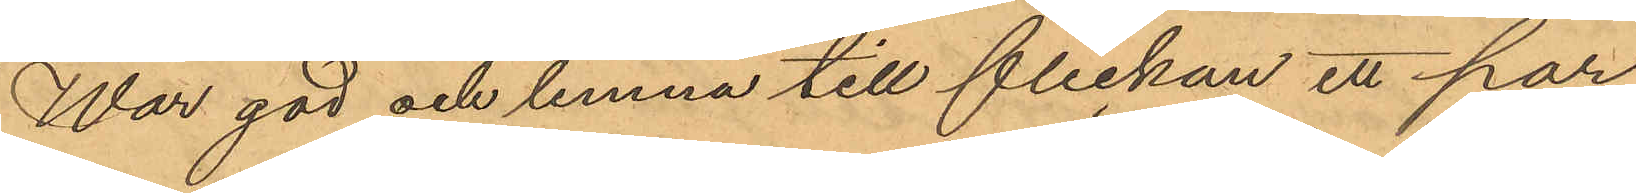"War god och lemna till flickan ett par
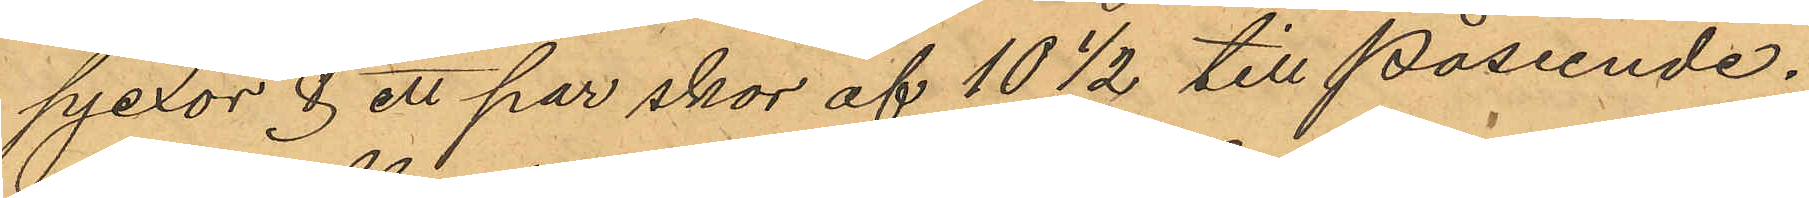pjexor & ett par skor af 10 1/2 till påseende.
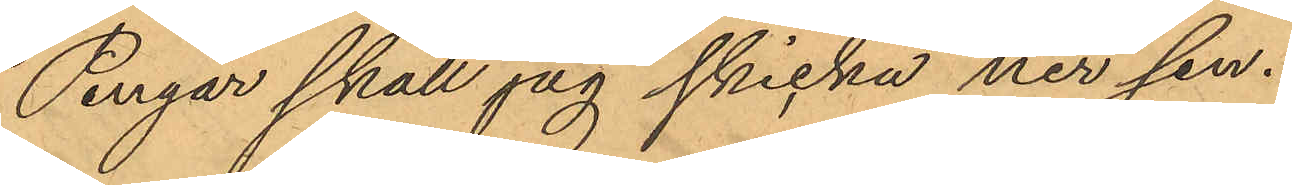Pengar skall jag skicka ner sen.
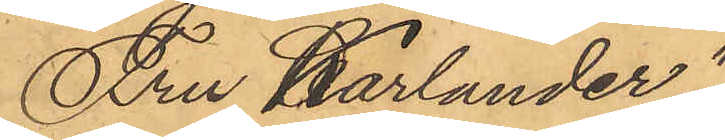Fru Karlander".
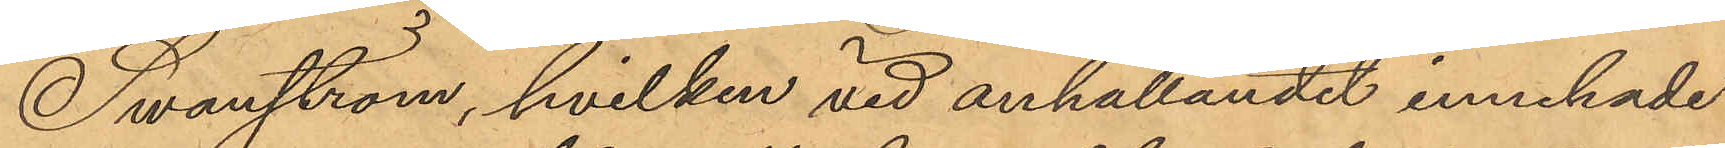Swanström, hvilken vid anhållandet innehade
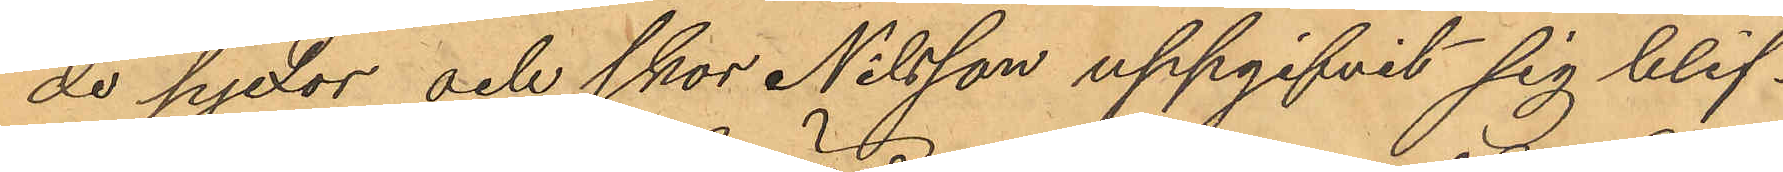de pjexor och skor Nilsson uppgifvit sig blif¬
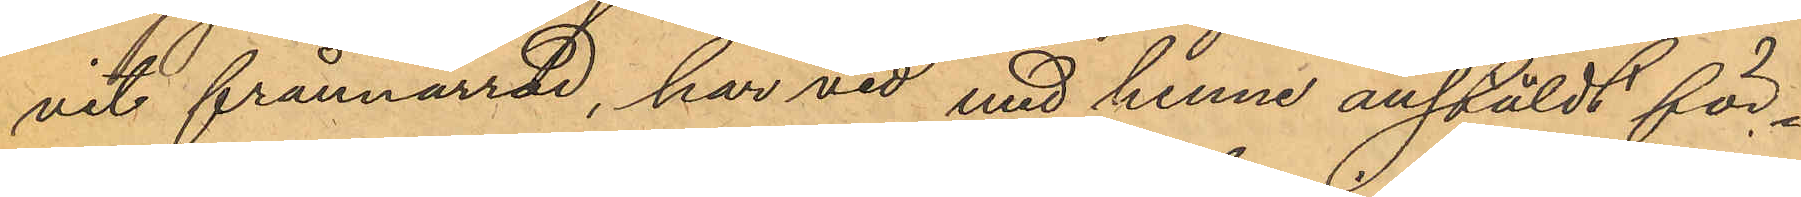vit frånnarrad, har vid med henne anstäldt för¬
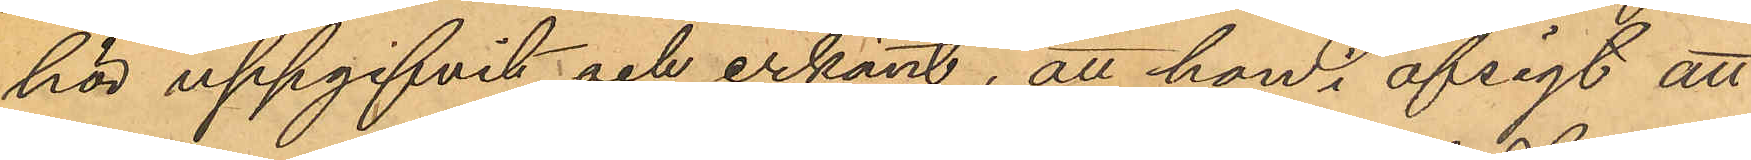hör uppgifvit och erkänt, att hon i afsigt att
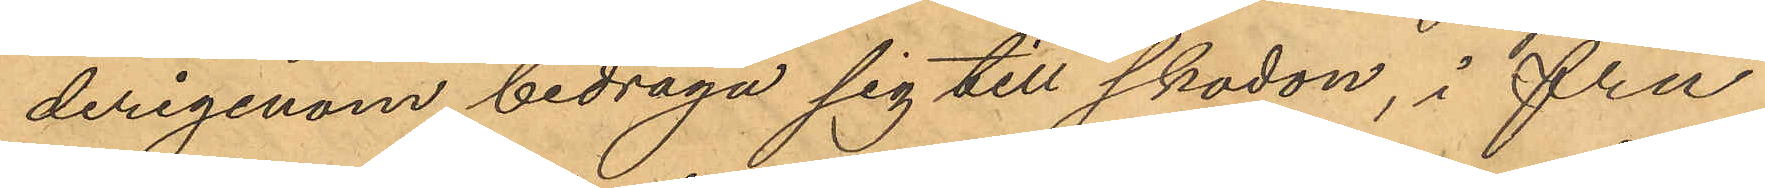derigenom bedraga sig till skodon, i fru
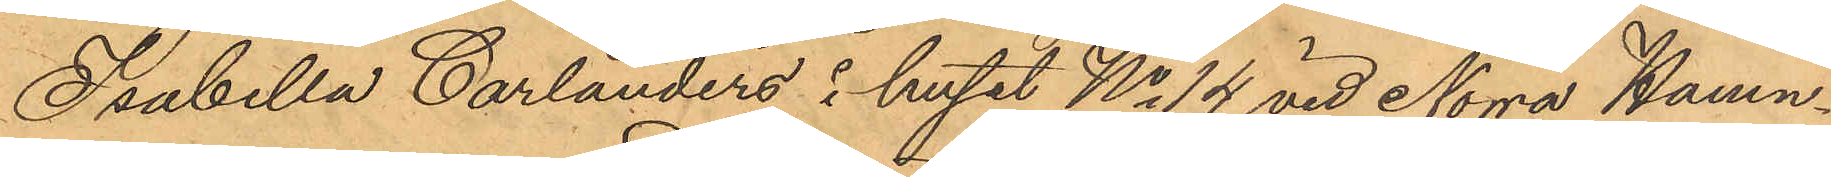Isabella Carlanders i huset No 14 vid Norra Hamn¬
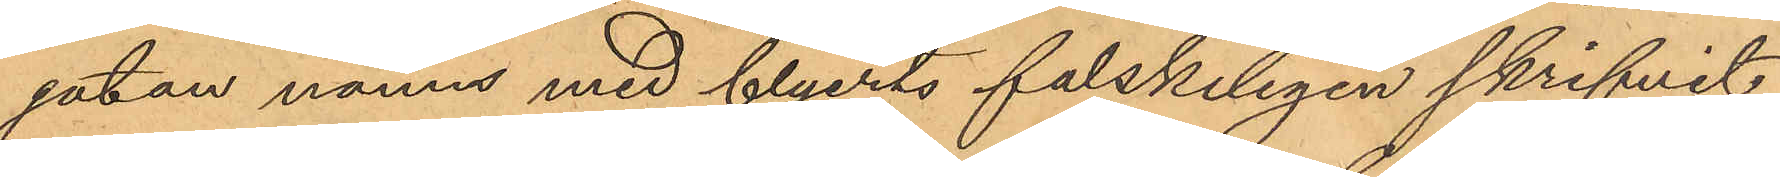gatan namn med blyerts falskeligen skrifvit
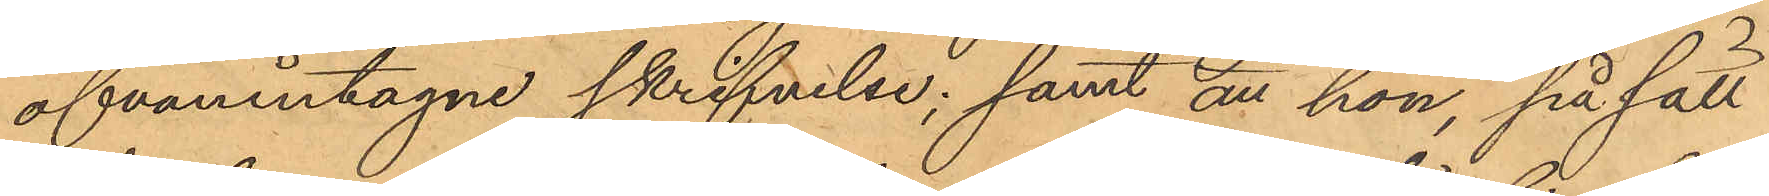ofvanintagne skrifvelse; samt att hon, på sätt
